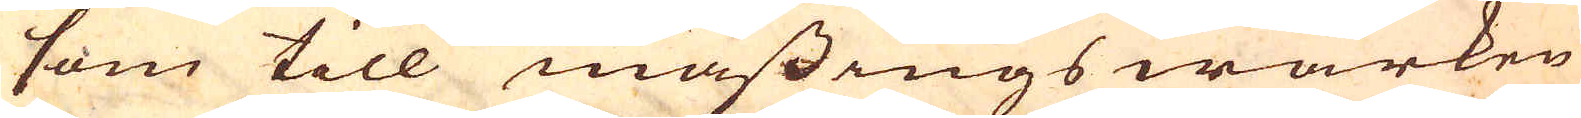som till mässings wärken
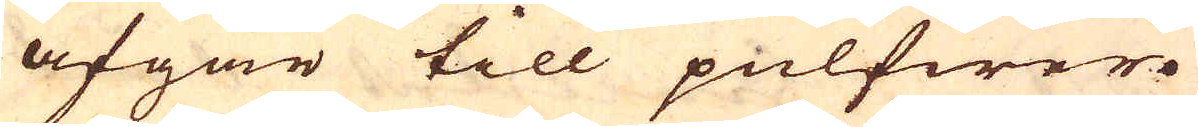afgår till pulfwer.
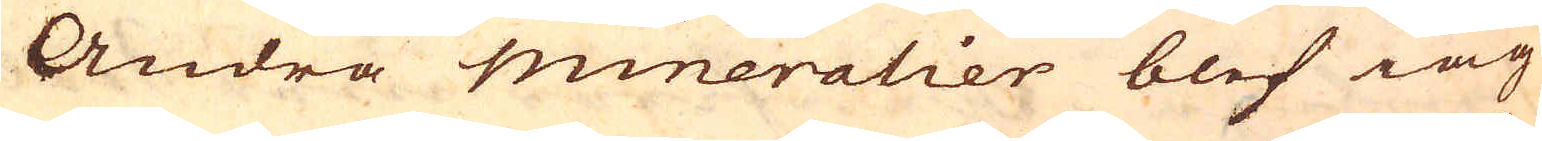Andra mineralier blef iag
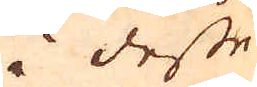i desse
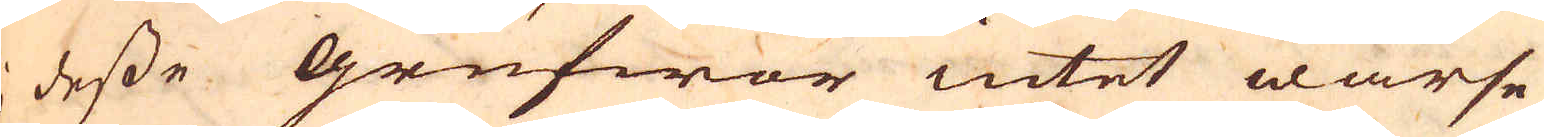i desse grufwor intet warse
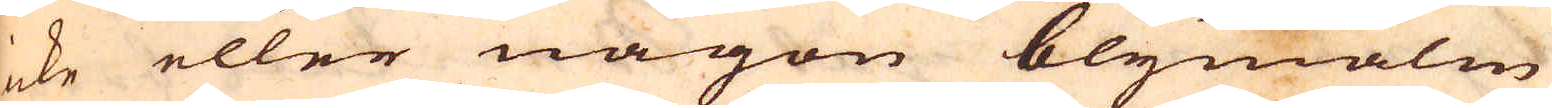icke eller någon blymalm
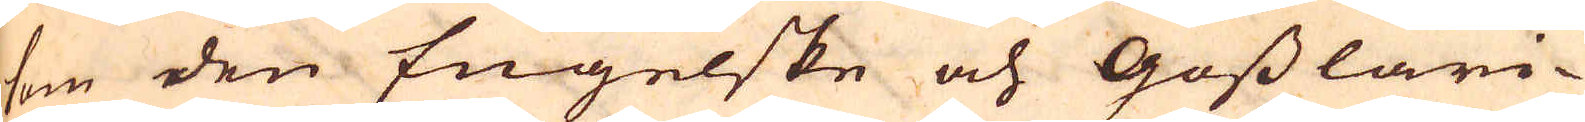som den Engelske och Gosslari-
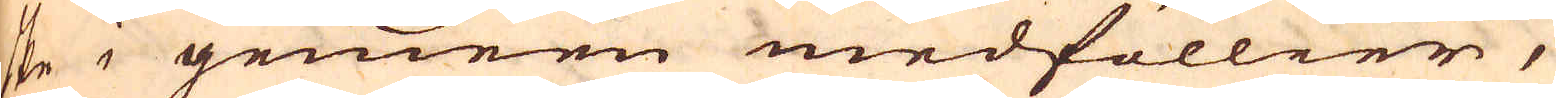ske i gemeen medföllier,
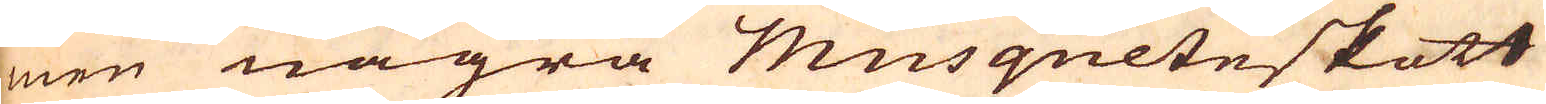men några Musqueteskott
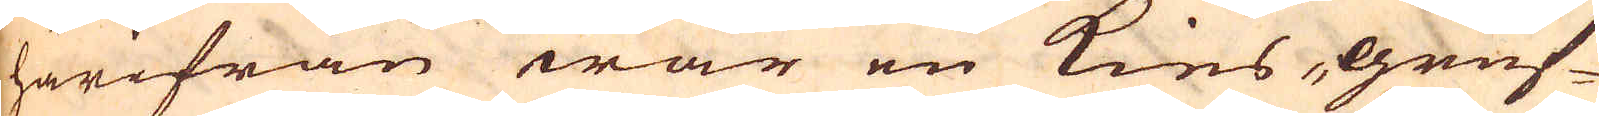härifrån war en kies-gruf-
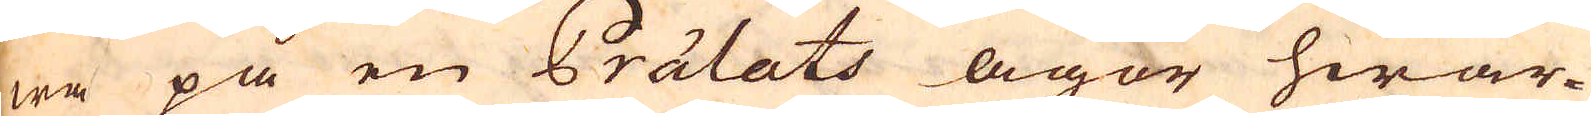wa på en Prälats ägor hwar-
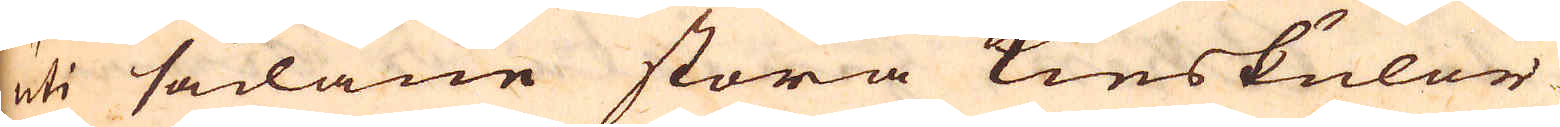uti sådane stora kieskulor
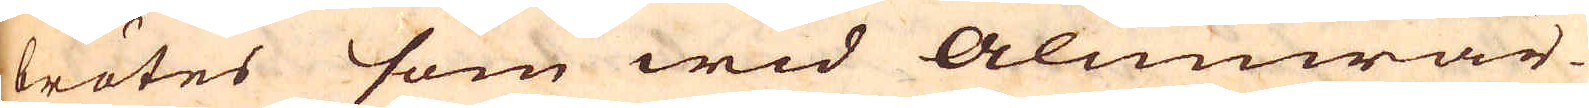brötes som wid Alunwär-
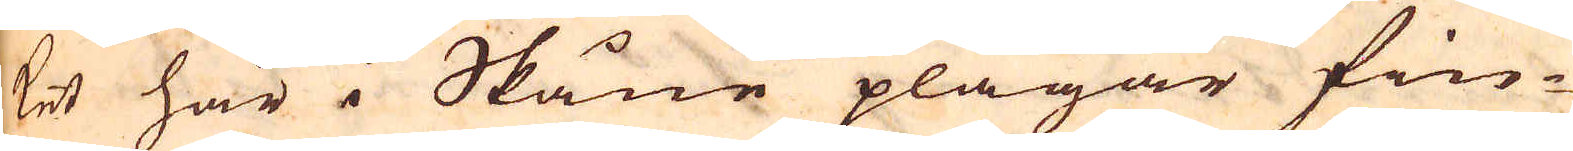ket här i Skåne plägar fin-
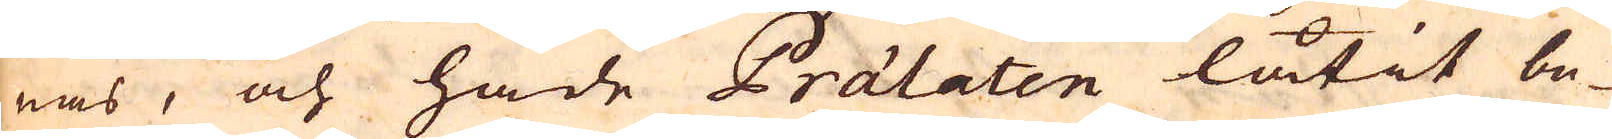nas, och hade Prälaten låtit be-
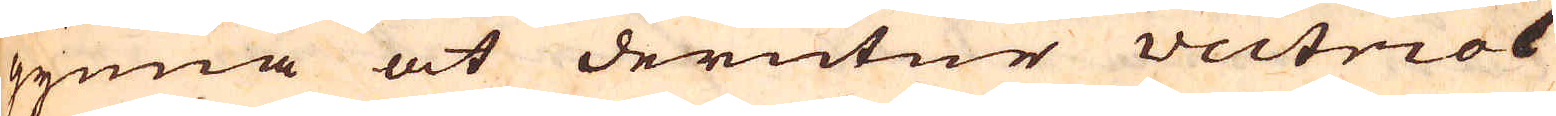gynna at derutur vectriol
